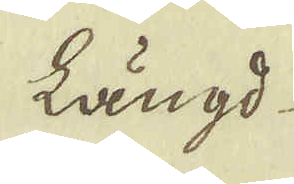längd
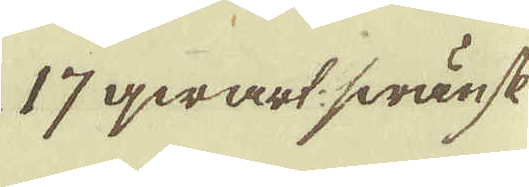17 qwart swänsk
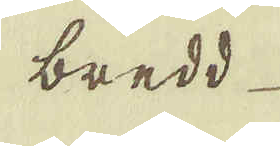bredd
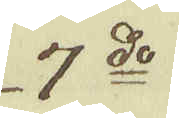7:do
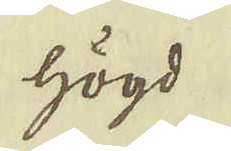högd
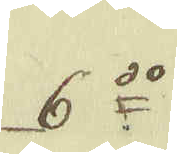6:do
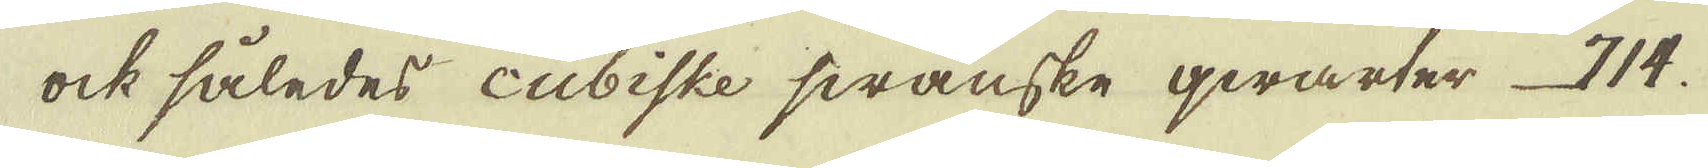ock således cubiske swänske qwarter 714.
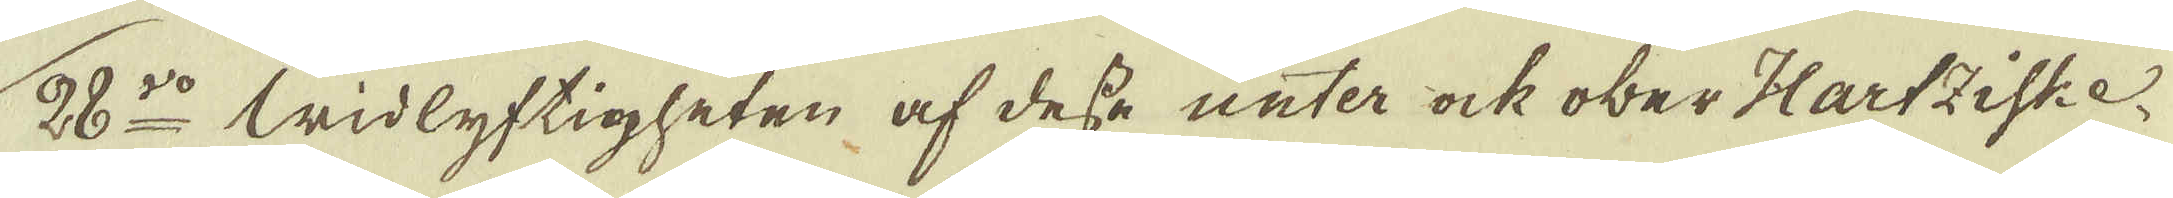28:do Widlyftigheten af desse unter ock ober Hartziske
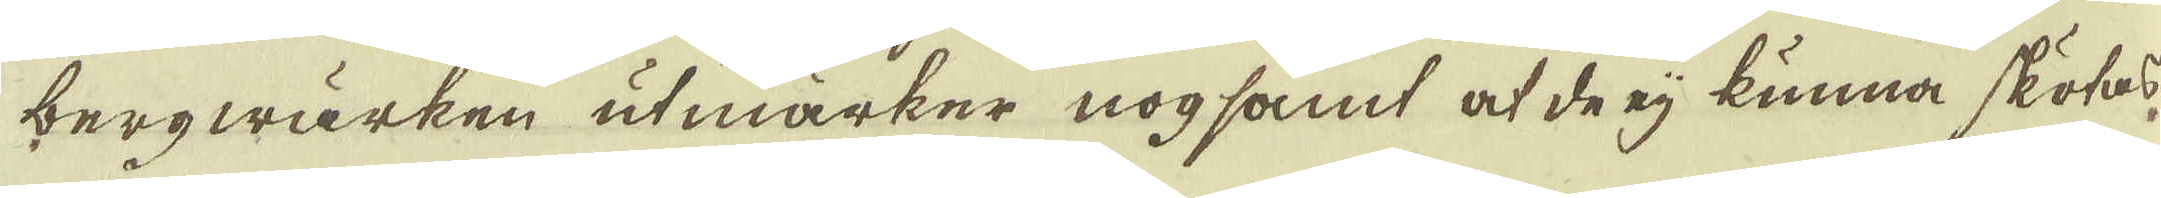bergwärken utmärker nogsamt at de eij kunna skötas,
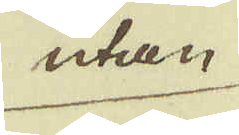utan
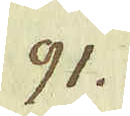91.
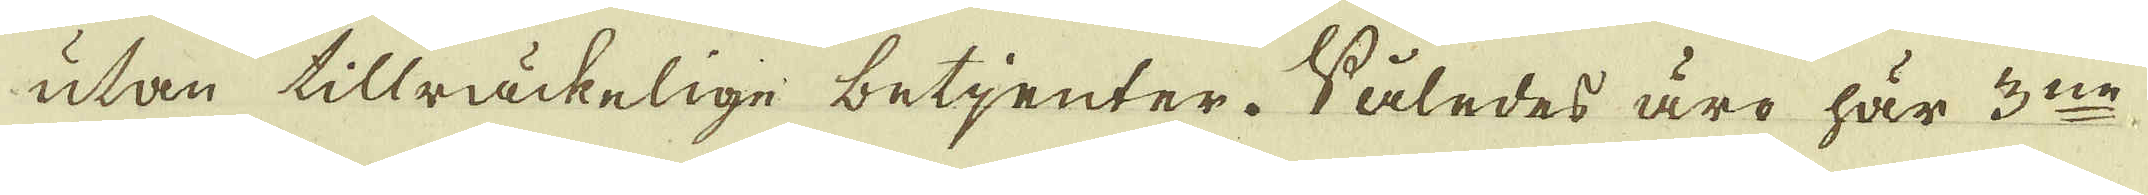utan tillräckelige betjenter. Således äro här 3:ne
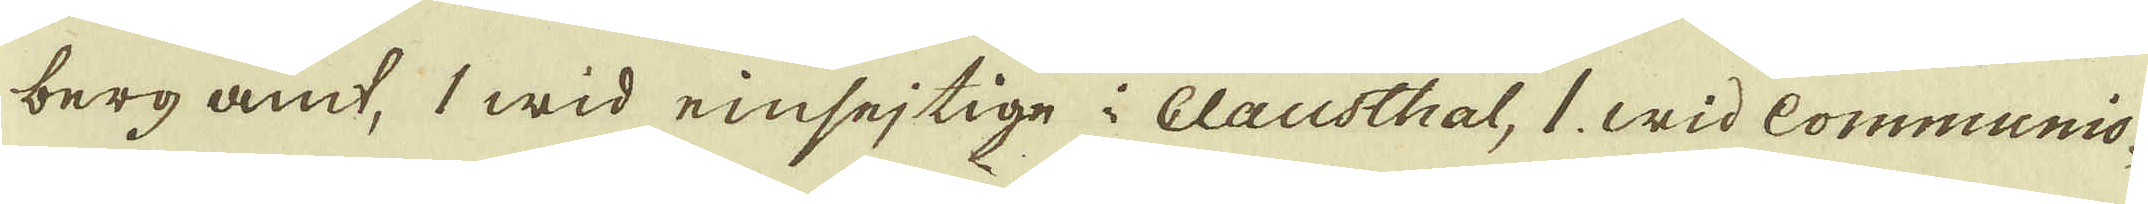berg amt, 1 wid einsejtige i Clausthal, 1. wid Communio-
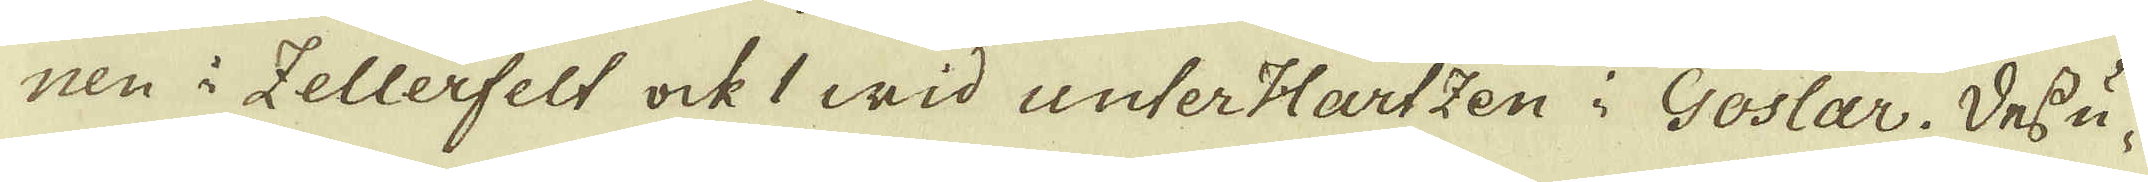nen i Tellerfelt ock 1 wid unterHartzen i Goslar. Dessu-
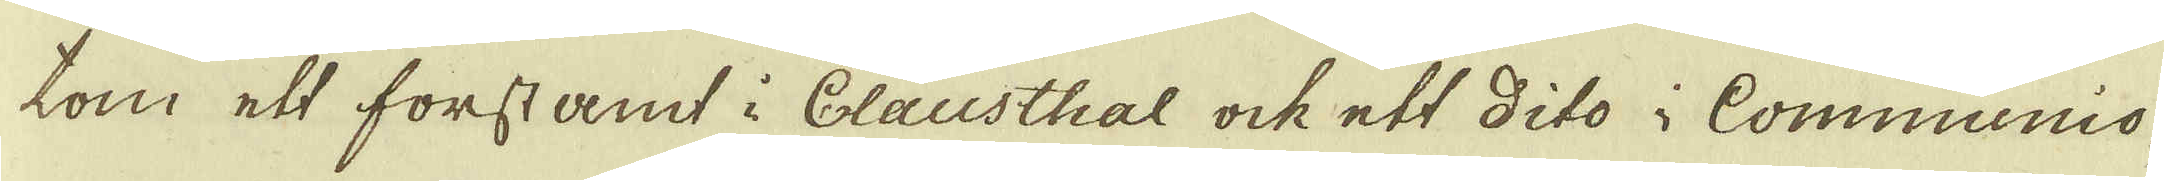tom ett forstamt i Clausthal ock ett dito i Communio-
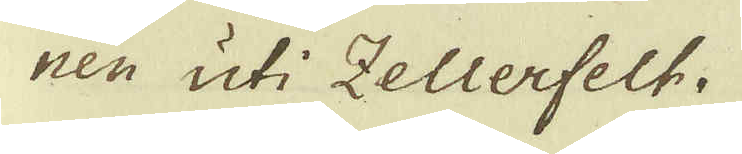nen uti Zellerfelt.
